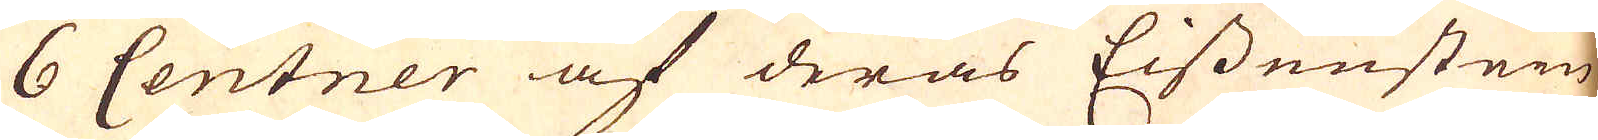6 Centner af deras Eissenstein
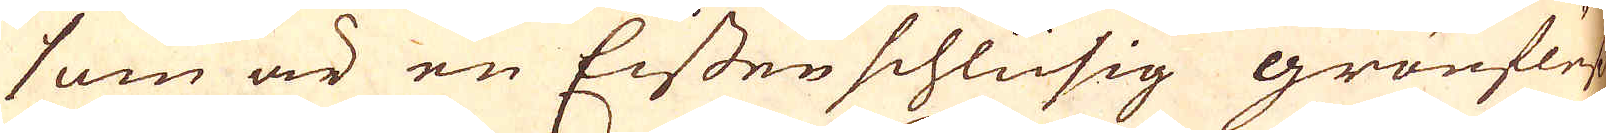som är en Eissen schlüsig grönfluss
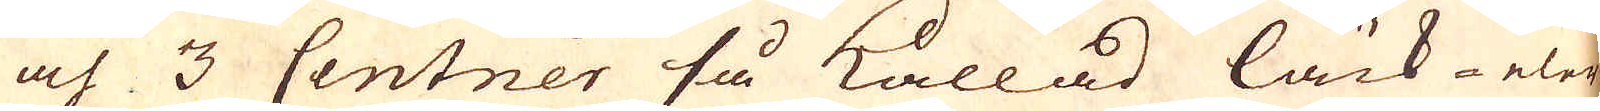och 3 Centner så kallad läck- eler
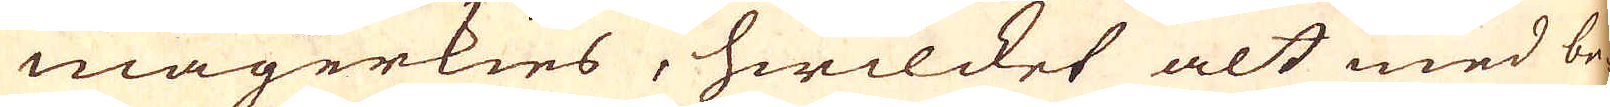magerkies, hwilcket alt med be-
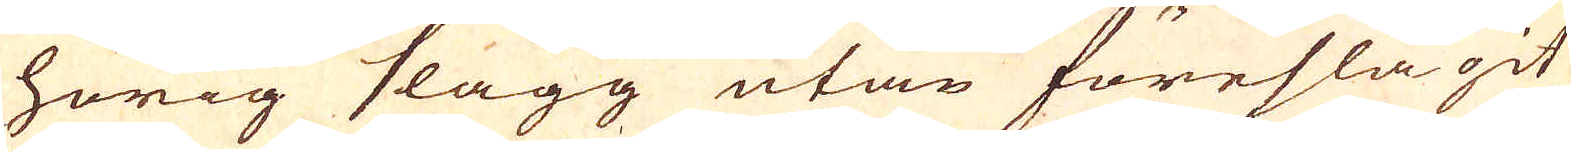hörig slagg utan föreslagit
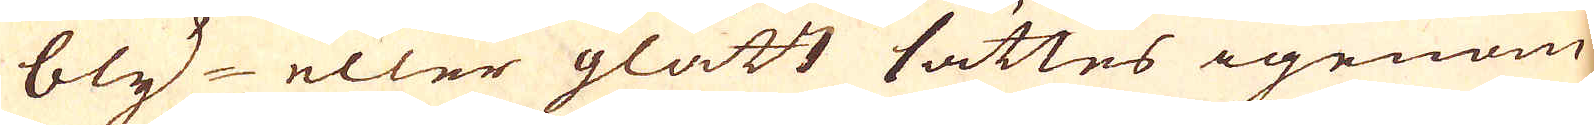bly- eller glätt sättes igenom
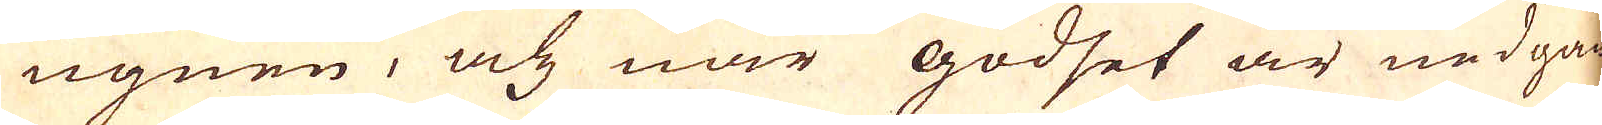ugnen, och när godset är nedgåe-
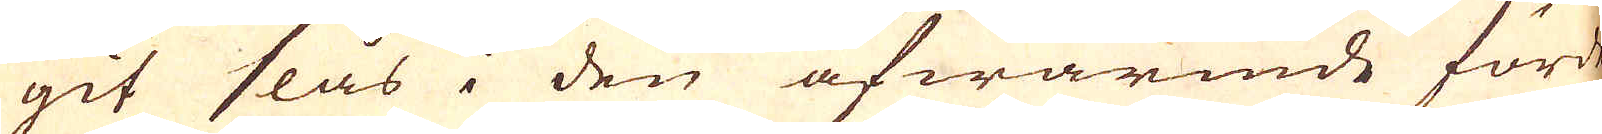git slås i den afwärmde fördeg-
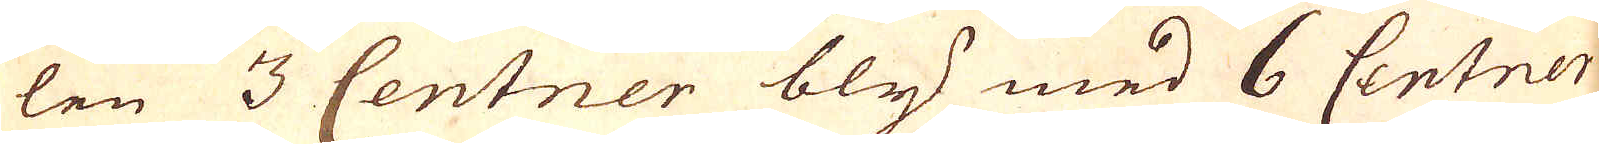len 3 Centner bly med 6 Centner
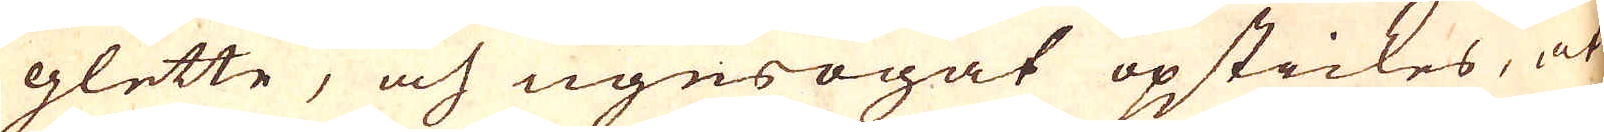glette, och ugnsögat opstickes, at
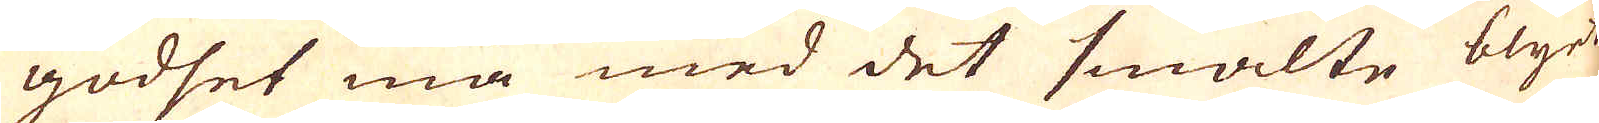godset må med det smälte blyet
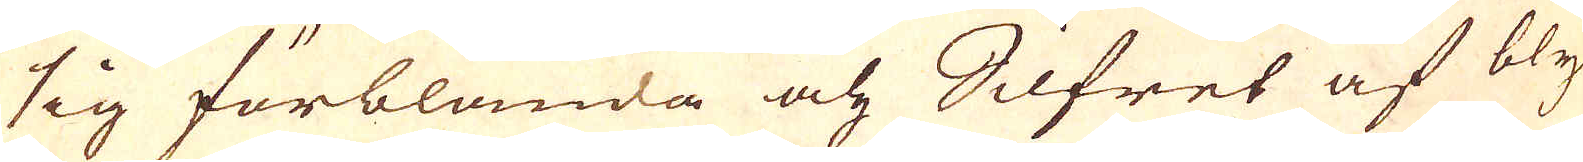sig förblanda och Silfret af bly
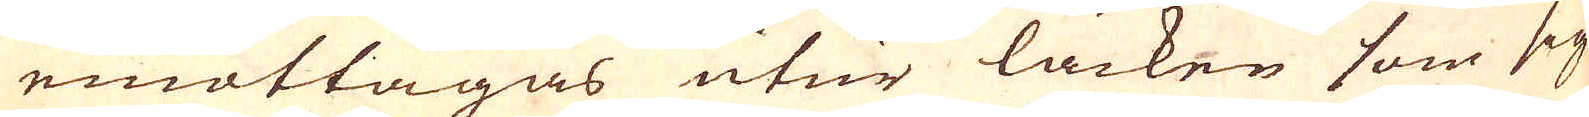emottagas utur läcken som sig
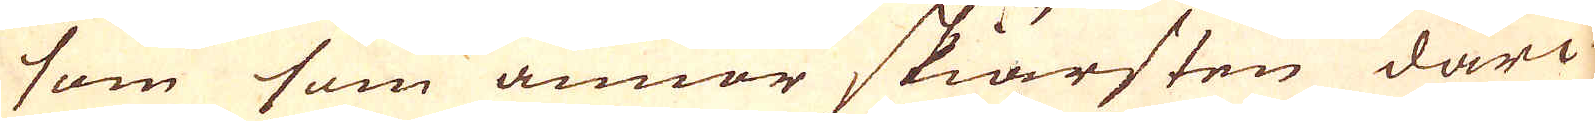som som annor skiärsten däri-
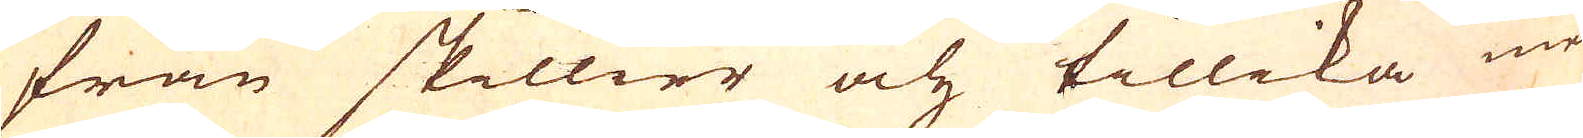från skillier och tillika med
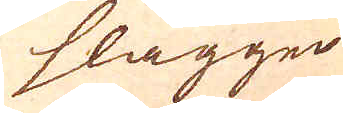slaggen
